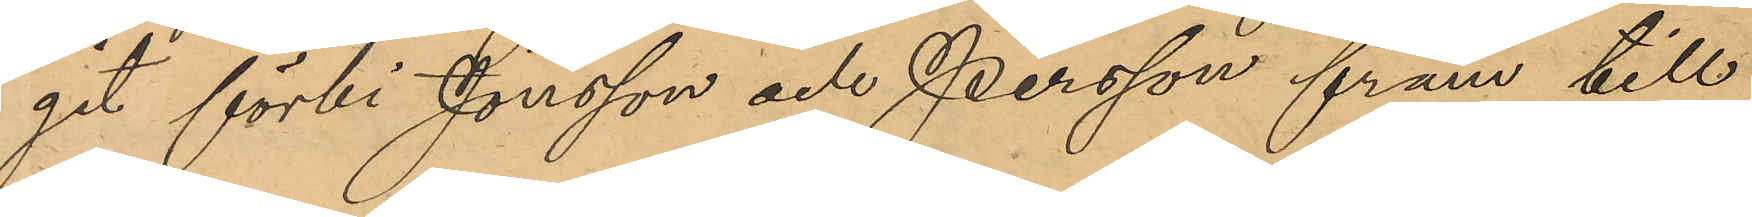git förbi Jönsson och Persson fram till
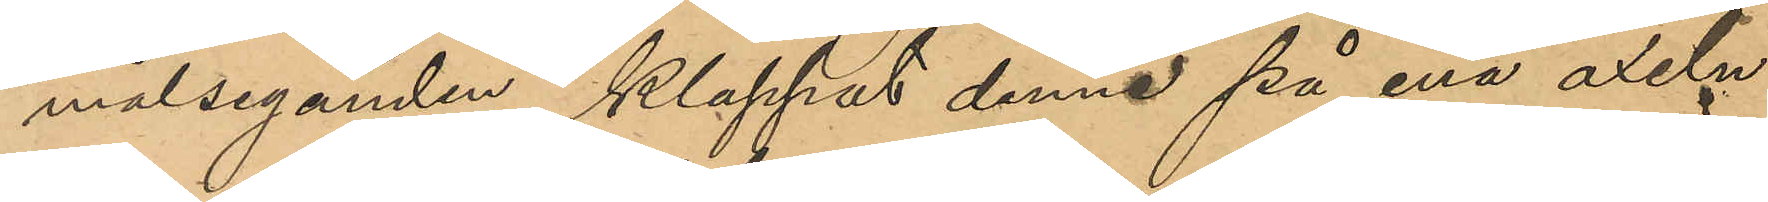målseganden, klappat denne på ena axeln
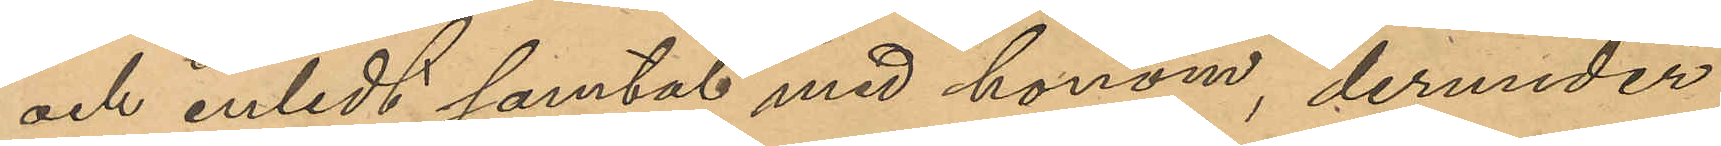och inledt samtal med honom, derunder
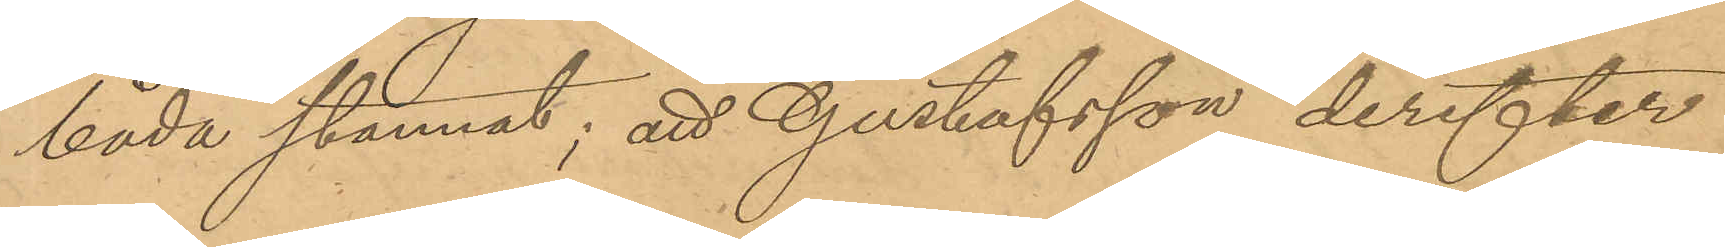båda stannat; att Gustafsson derefter
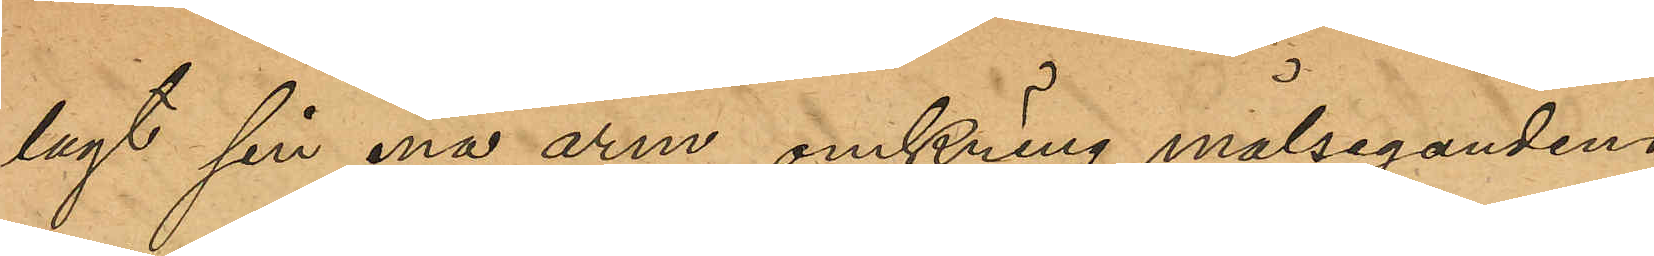lagt sin ena arm omkring målsegandens
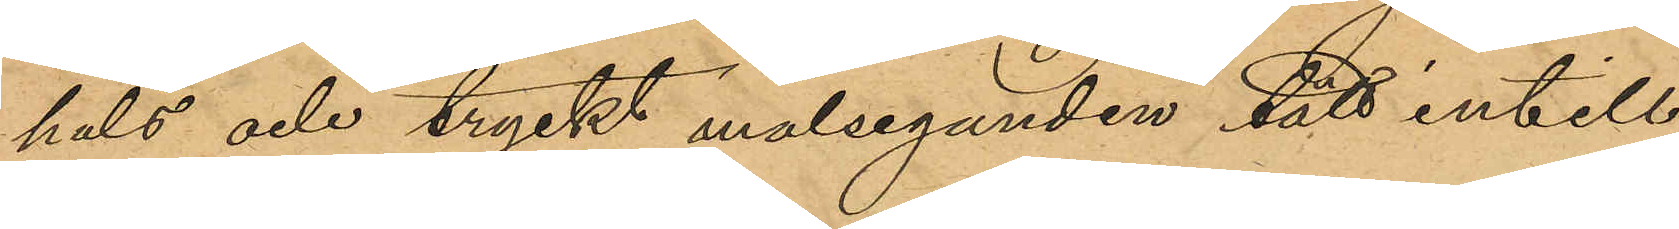hals och tryckt målseganden tätt intill
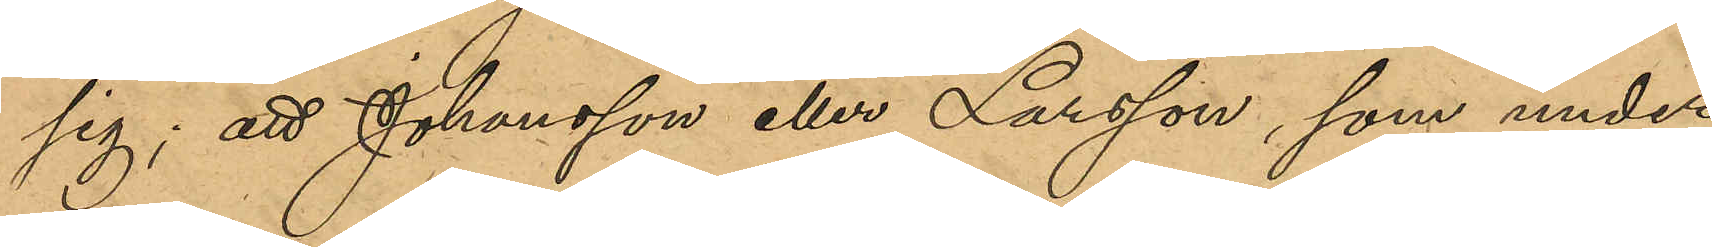sig; att Johansson eller Larsson, som under
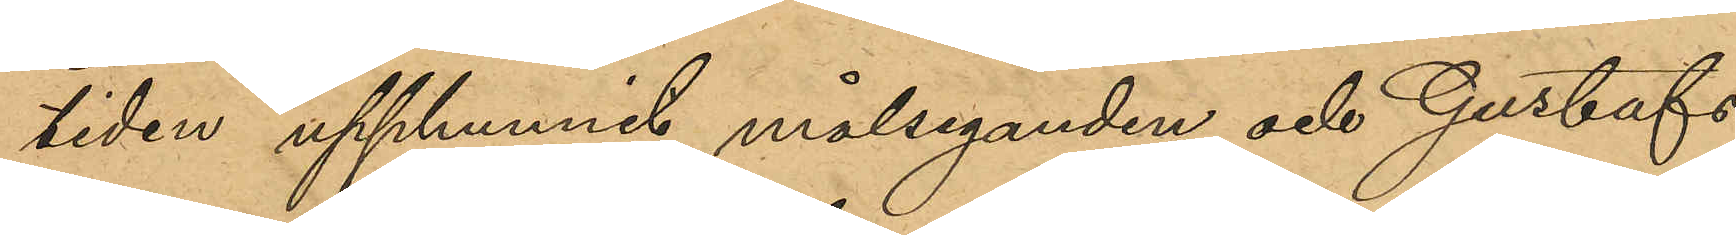tiden upphunnit målseganden och Gustafs¬
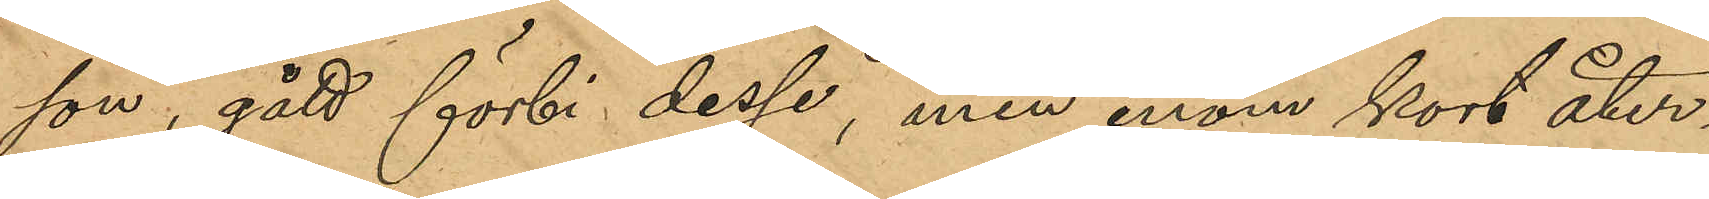son, gått förbi dessa, men inom kort åter¬
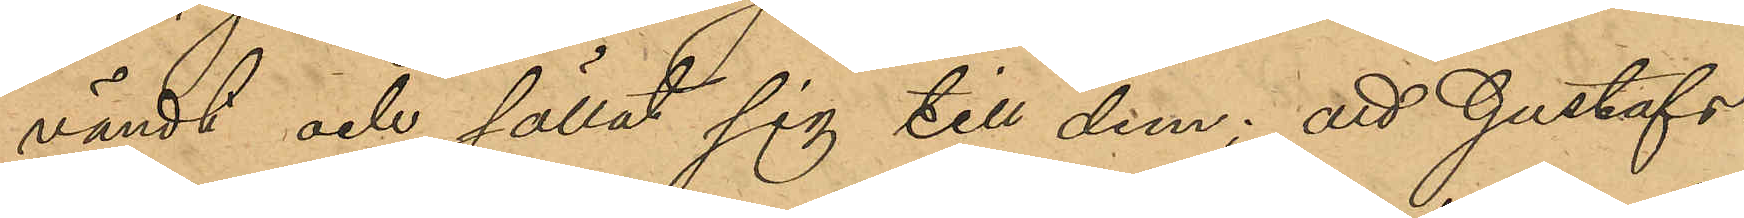vändt och sällat sig till dem; att Gustafs¬
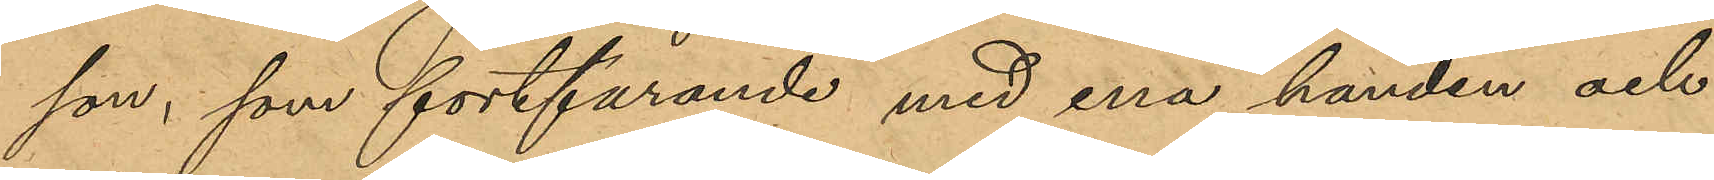son, som fortfarande med ena handen och
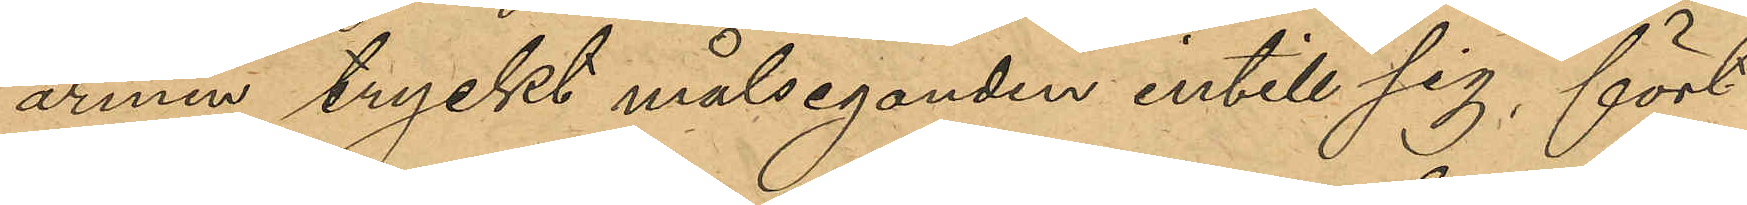armen tryckt målseganden intill sig, fört
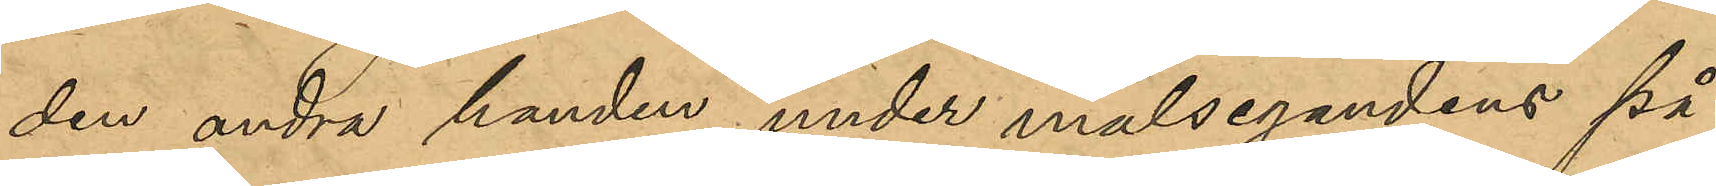den andra handen under målsegandens på¬
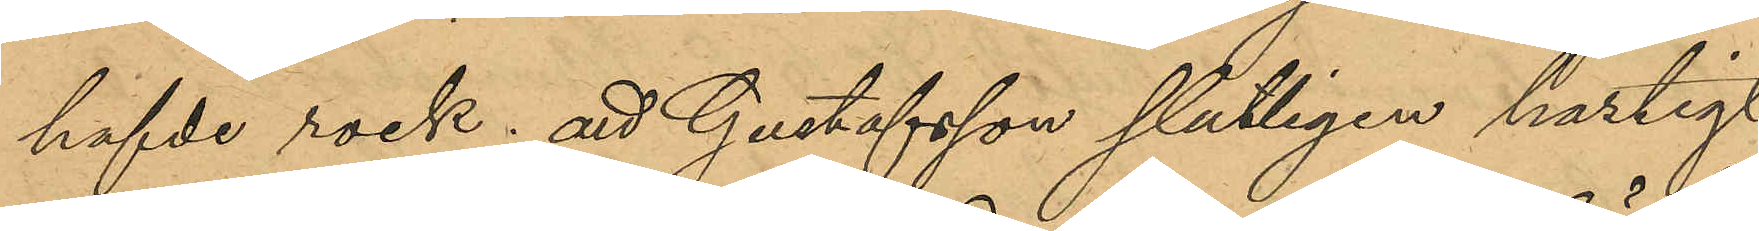hafde rock; att Gustafsson slutligen hastigt
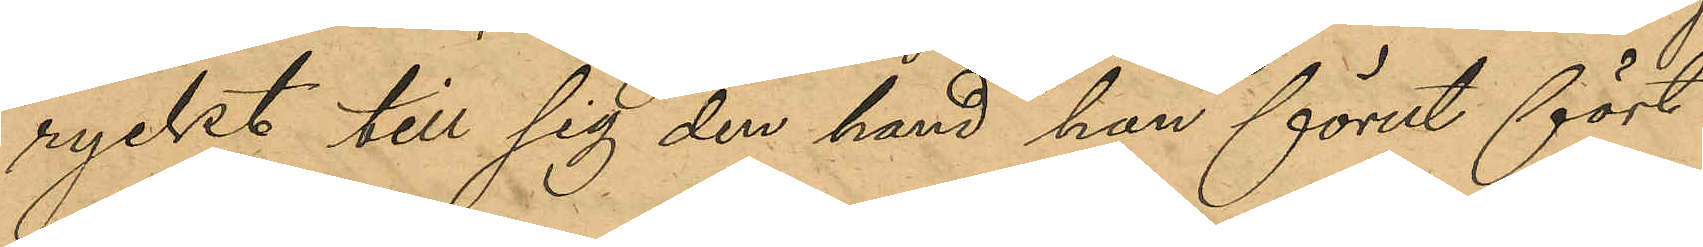ryckt till sig den hand han förut fört
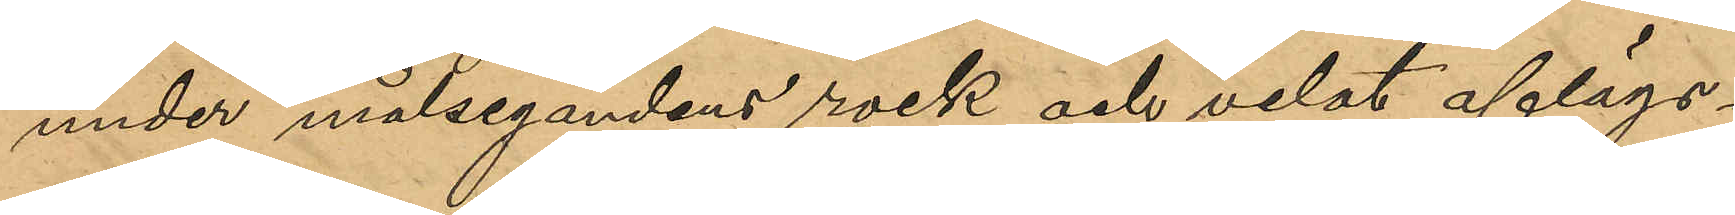under målsegandens rock och velat aflägs¬
